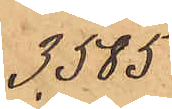3,585
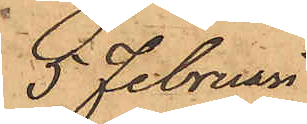5 Februari
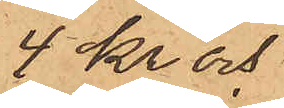4 Kr och
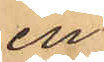en
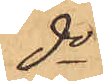do
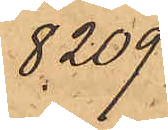8,209
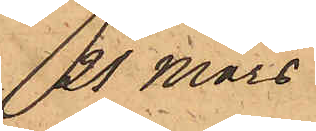21 Mars
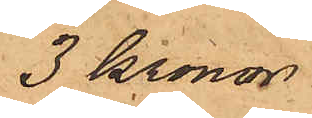3 Kronor
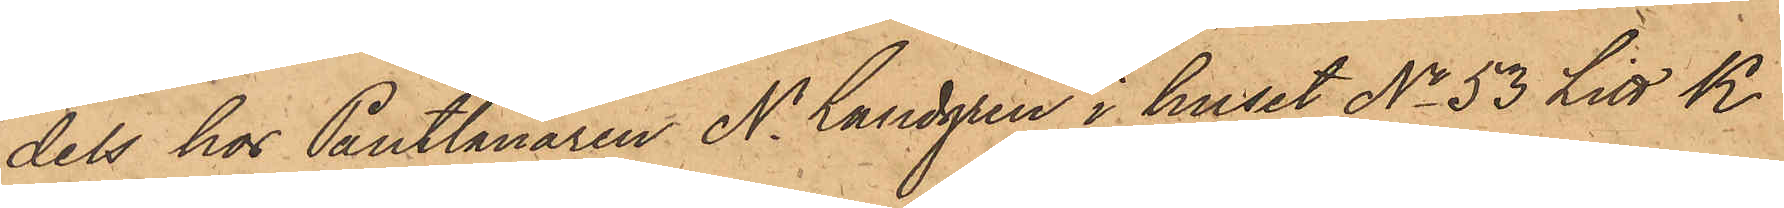dels hos Pantlånaren N. Lundgren i huset No 53 Litt K.
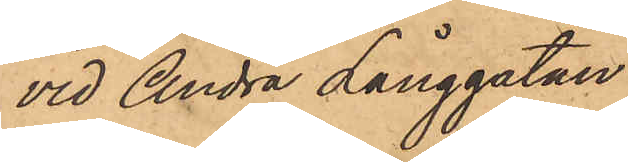vid Andra Långgatan:
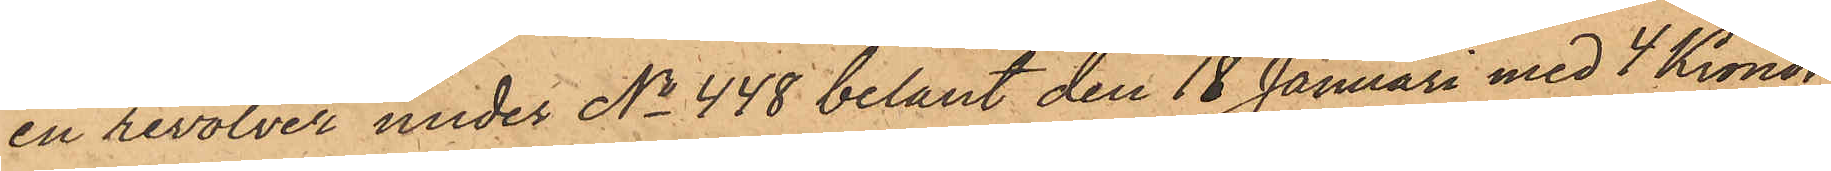en revolver under No 448 belånt den 18 Januari med 4 Kronor
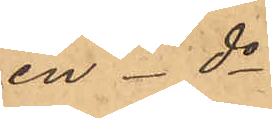en - do
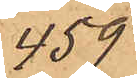459
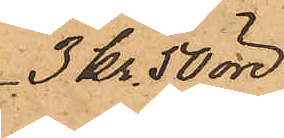3 Kr 50 öre
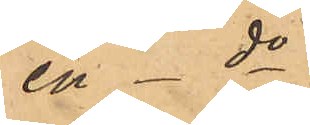en - do
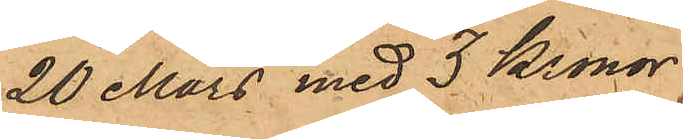20 Mars med 3 Kronor
